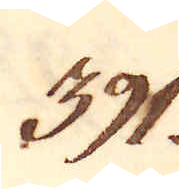391.
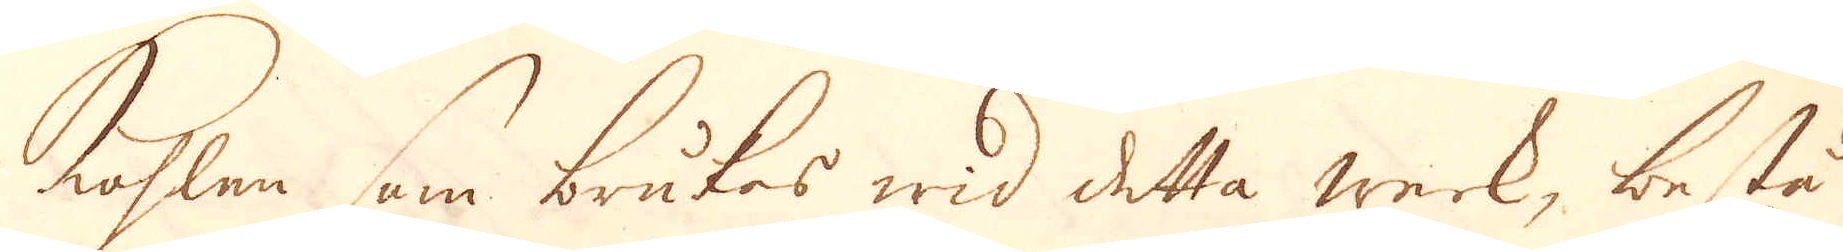Kohlen som brukas wid detta werk, bestå
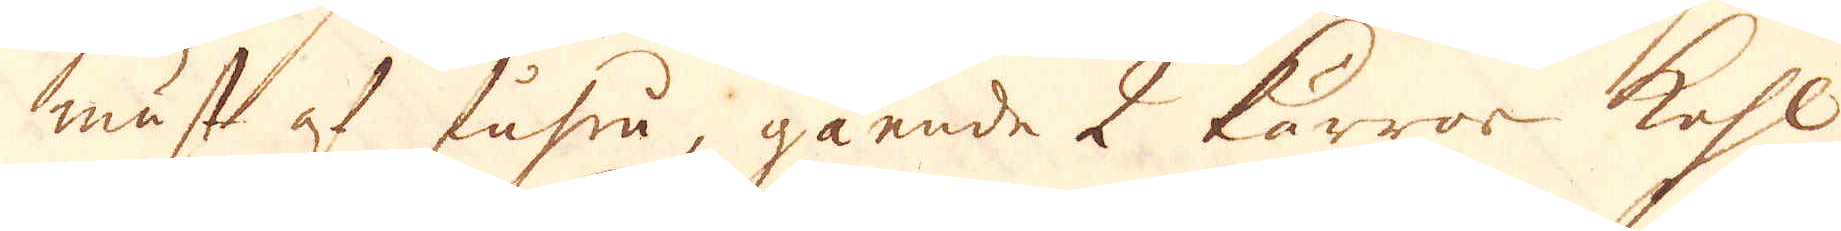mäst af fuhru, gående 2 kärror kohl
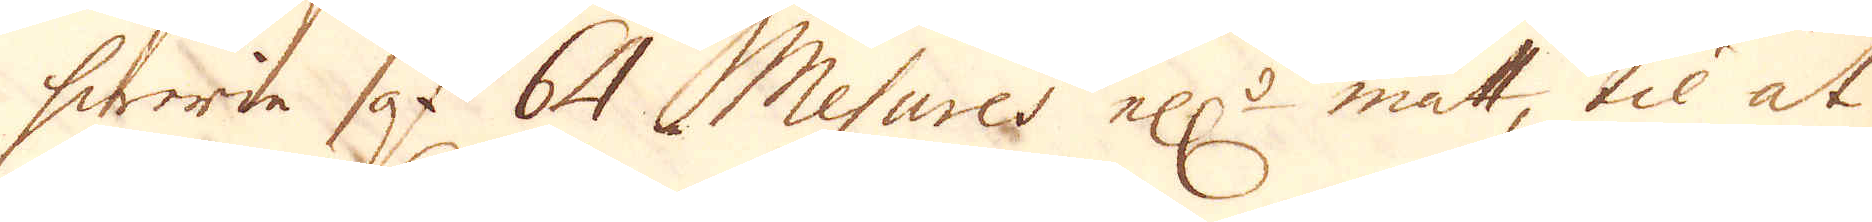hwarie af 64 Mesures ell:r mått, til at
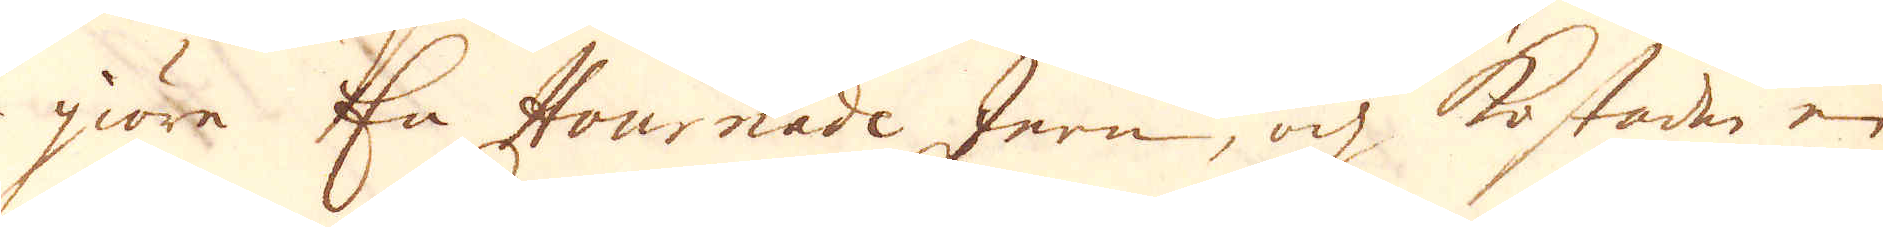giöre En Hournade Jern, och kostade en
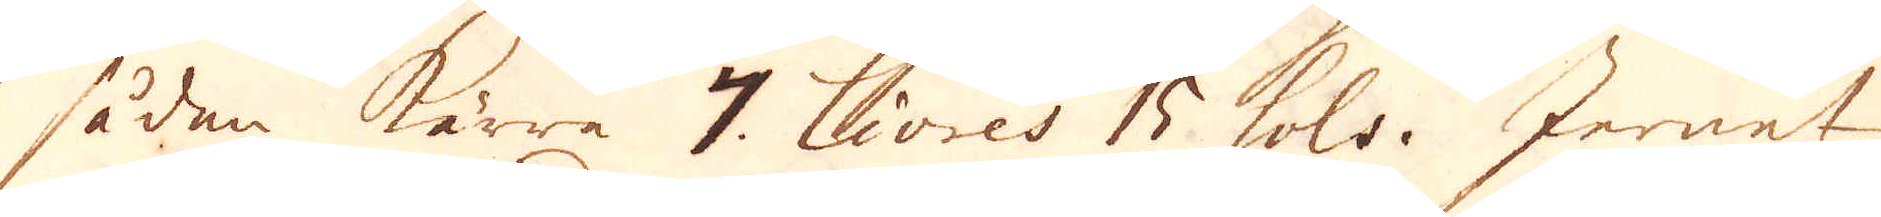sådan kärra 7. Livres 15 sols. Jernet
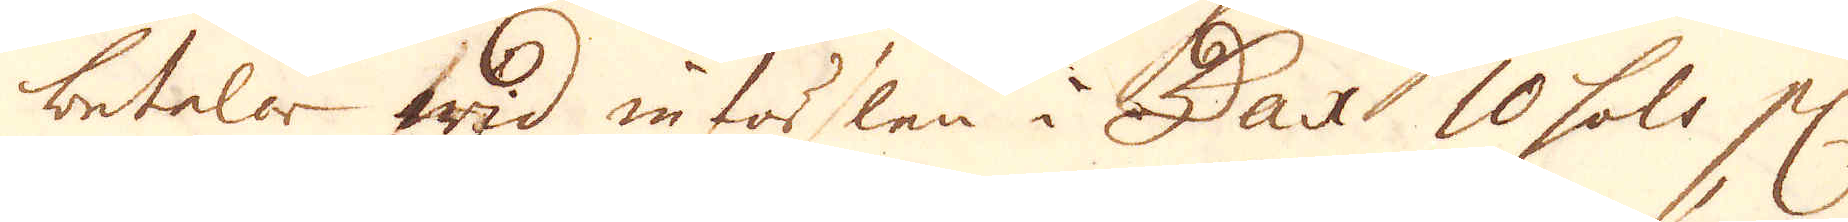betalar wid införslen i Dax 10 sols el.
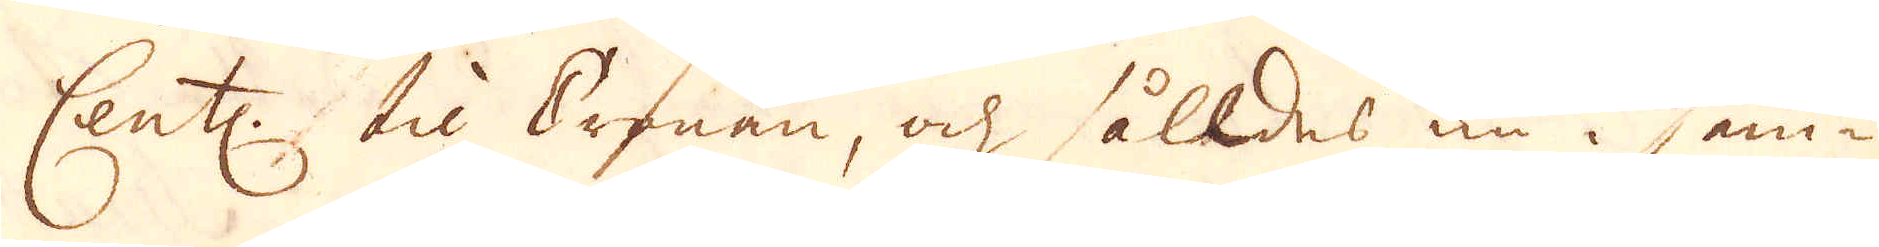Cent:, til Cronan, och således nu i sam-
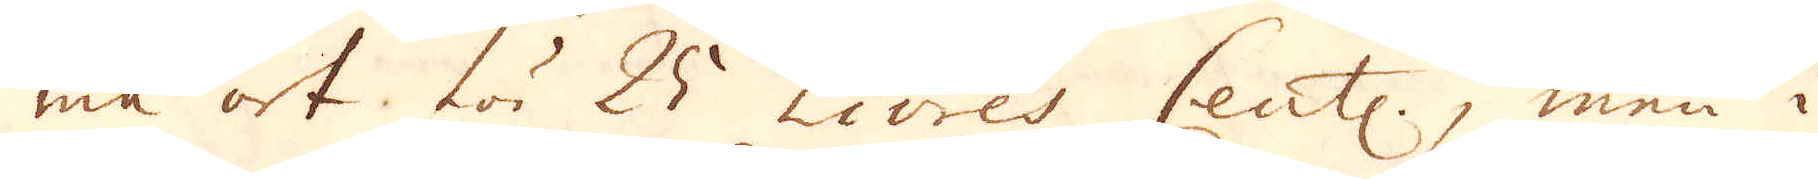ma ort för 25 Livres Cent:, men i
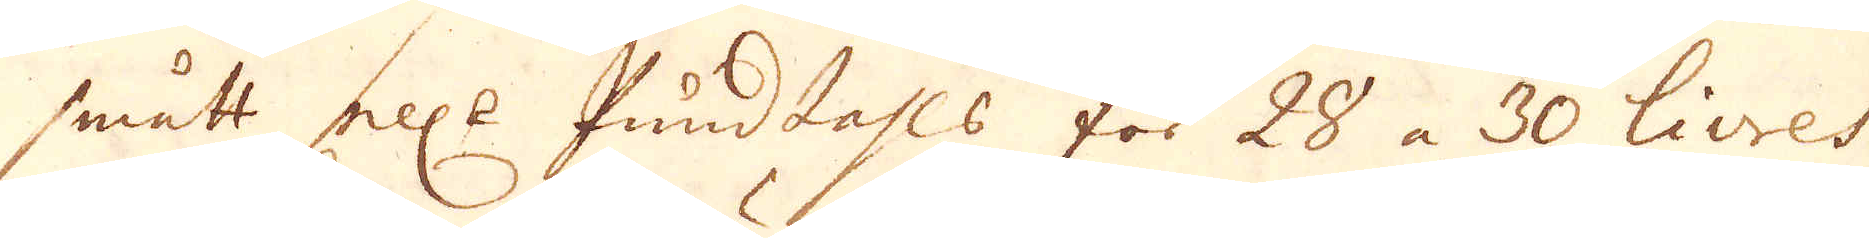smätt el:r Pundtahls för 28 a 30 livres,
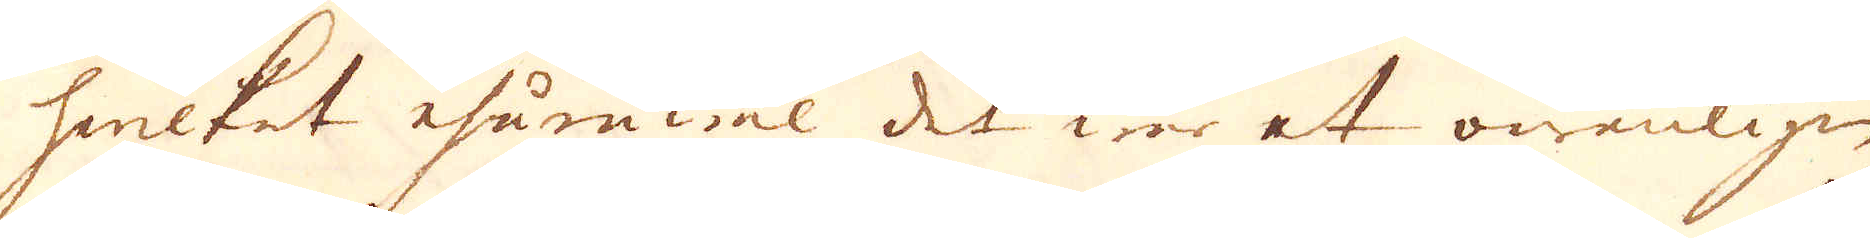hwilket ehuruwäl det war et owanligen
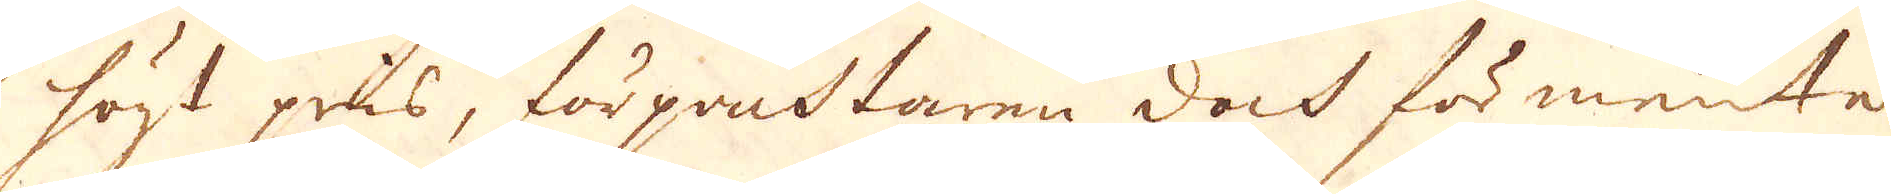högt pris, förpanttaren dock för mente
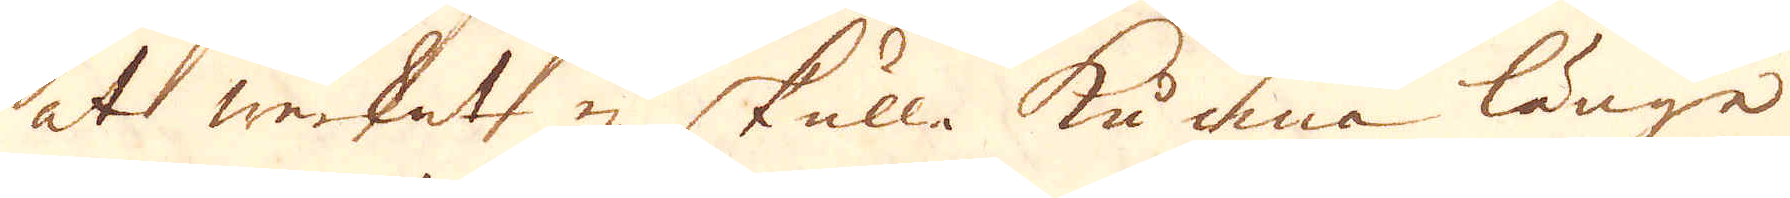at werket ej skulle kunna länge
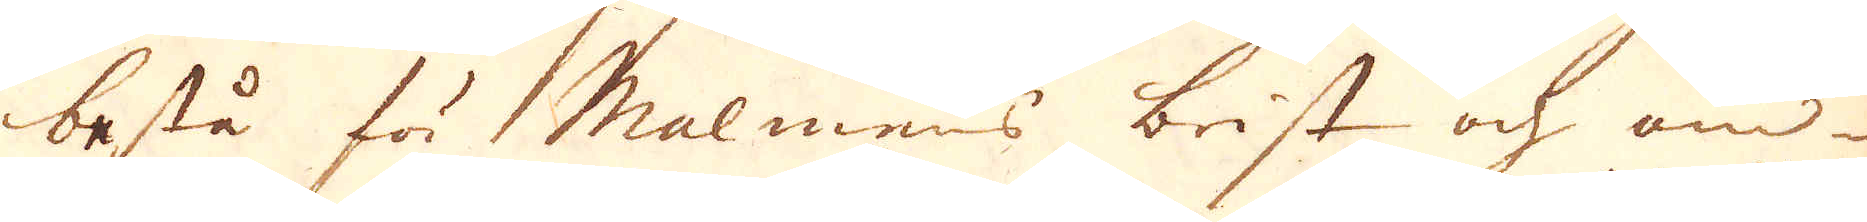bestå för Malmens brist och om-
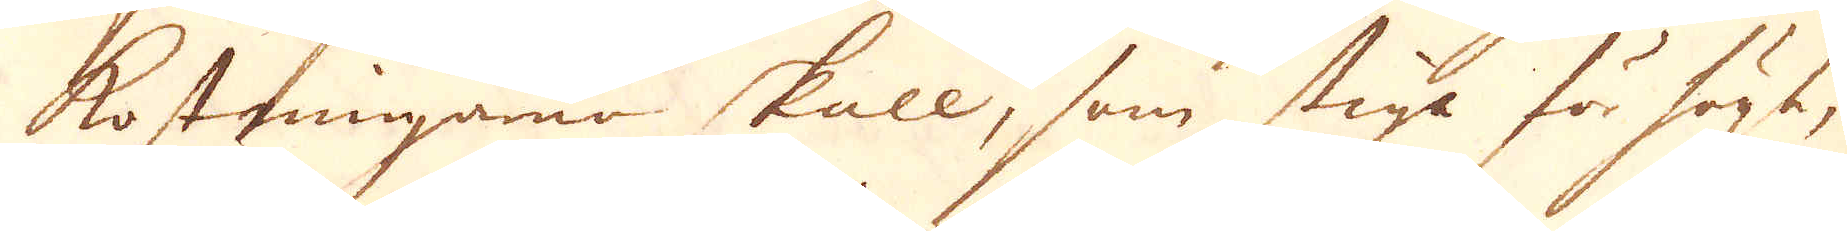kostningarne skull, som stiga för högt;
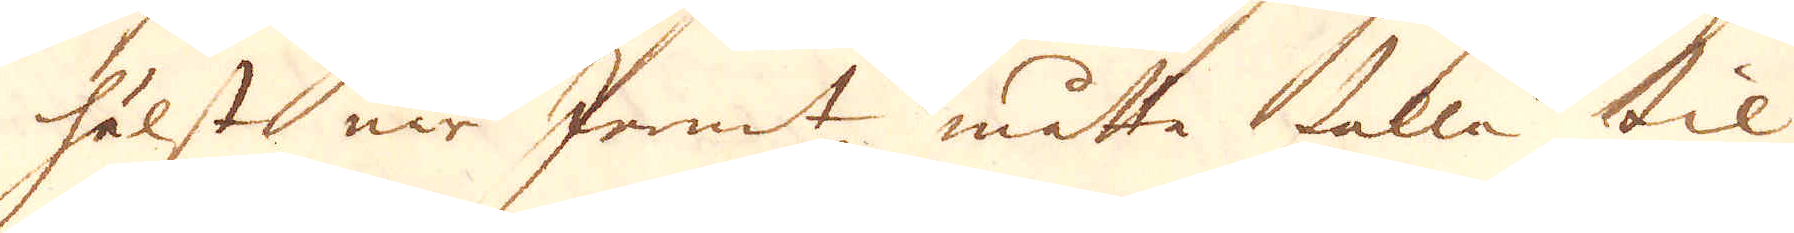hälsts när Jernet måtte falla til
